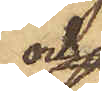och
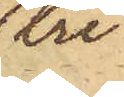tre
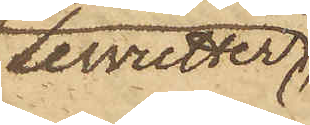Servietter
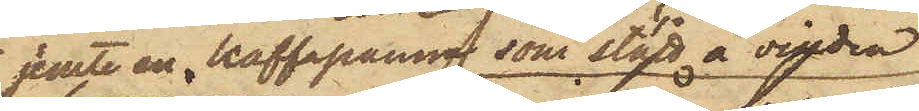jemte en kaffepanna, som stått å vinden,
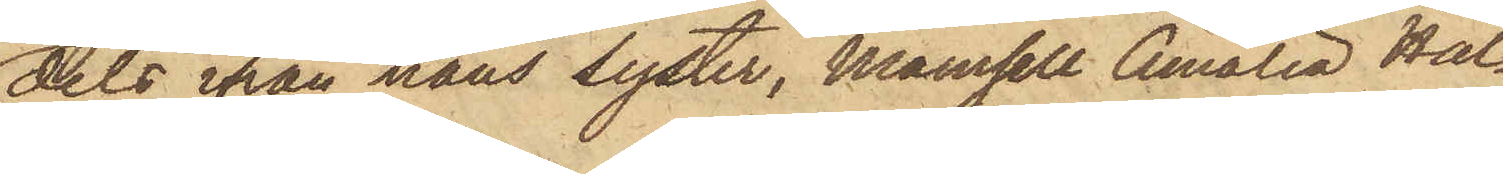dels ifrån hans syster, Mamsell Amalia Hal¬
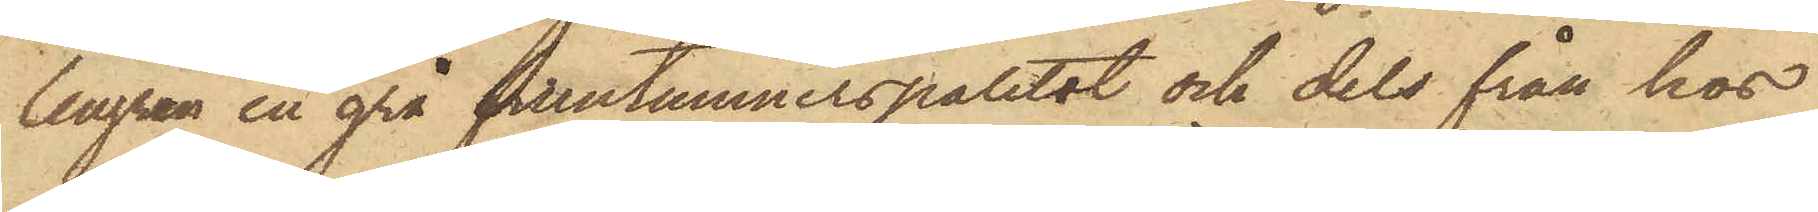lengren en grå fruntimmerspaletot och dels från hos
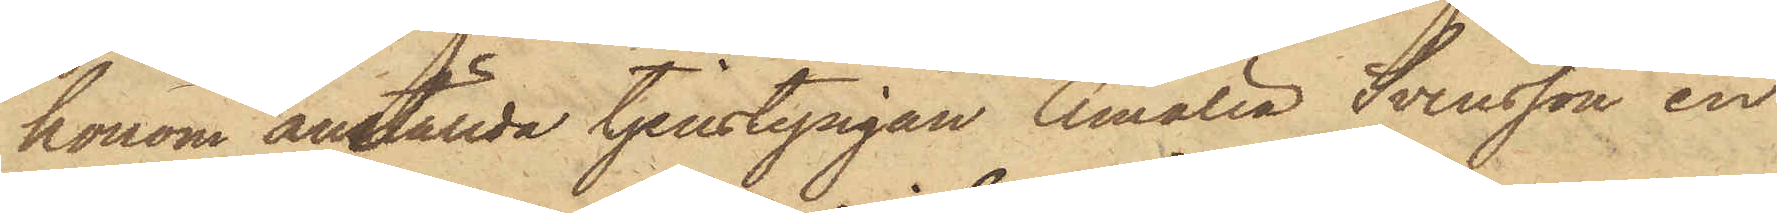honom anställda tjenstepigan Amalia Svensson, en
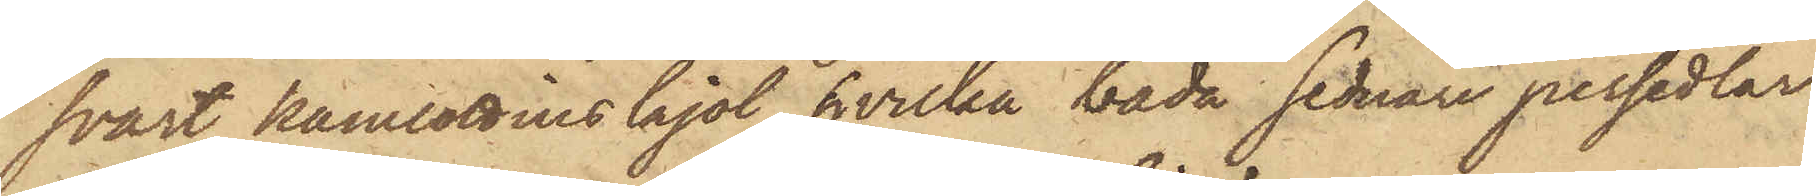svart kamlottins kjol, hvilka båda sednare persedlar
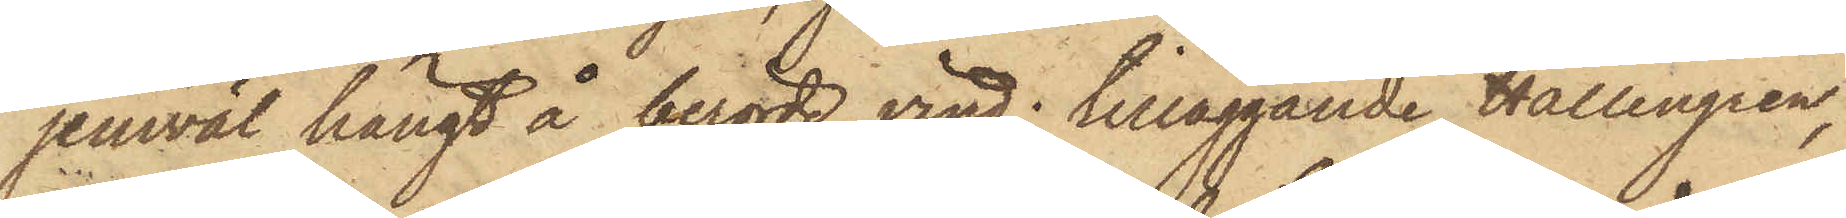jemväl hängt å berörde vind; tilläggande Hallengren,
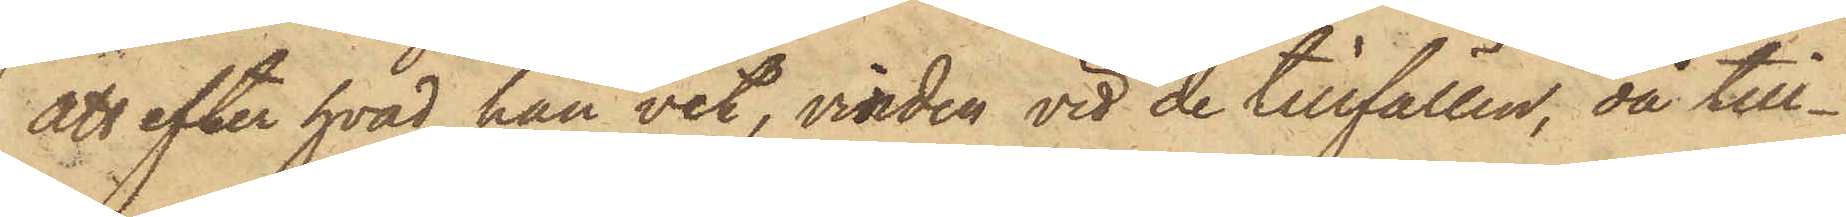att efter hvad han vet, vinden vid de tillfällen, då till¬
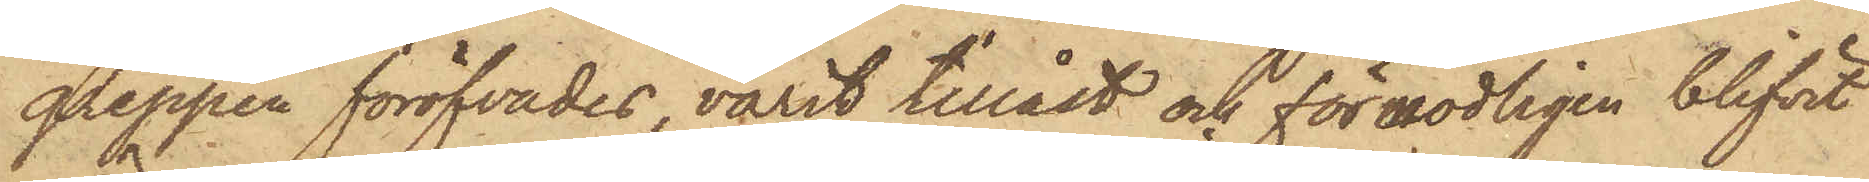greppen föröfvades, varit tillåst och förmodligen blifvit
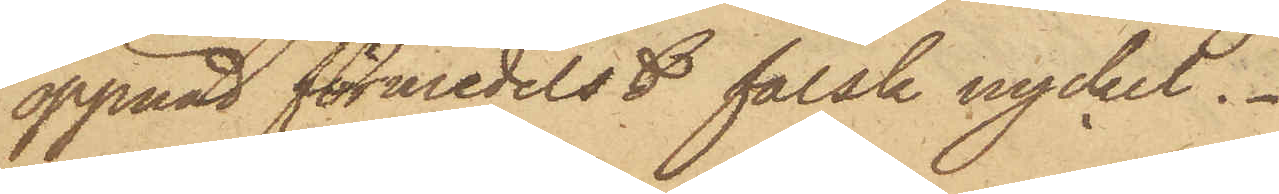öppnad förmedelst falsk nyckel.
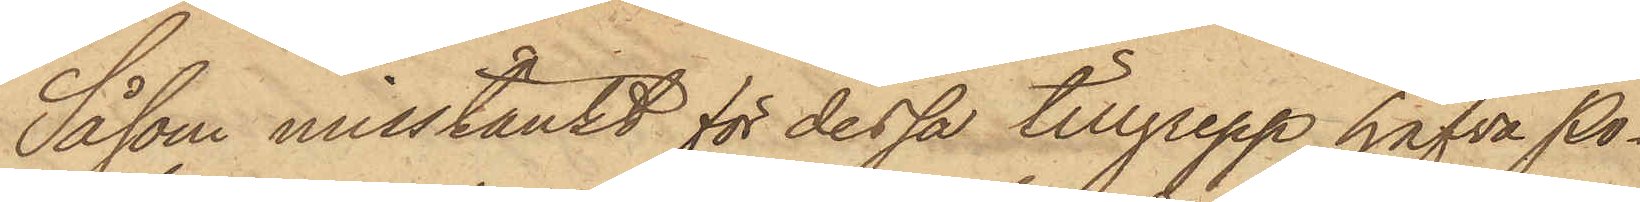Såsom misstänkt för dessa tillgrepp, hafva Po¬
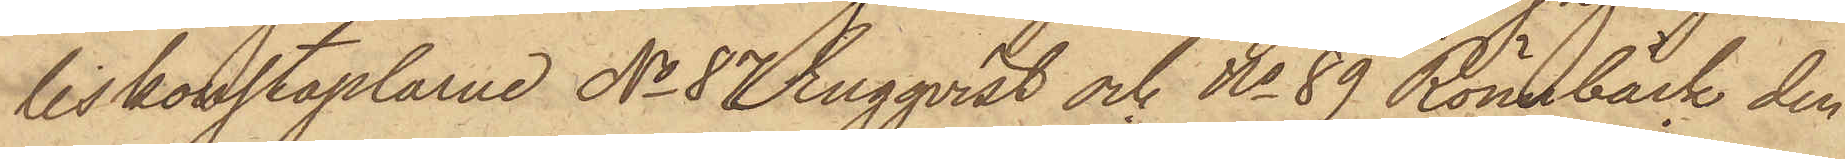liskonstaplarne No 87 Engqvist och No 89 Rönnbäck den
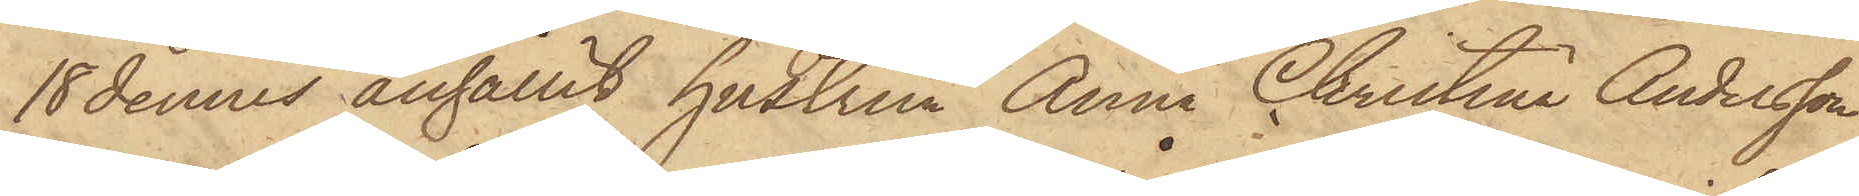18 dennes anhållit hustrun Anna Christina Andersson
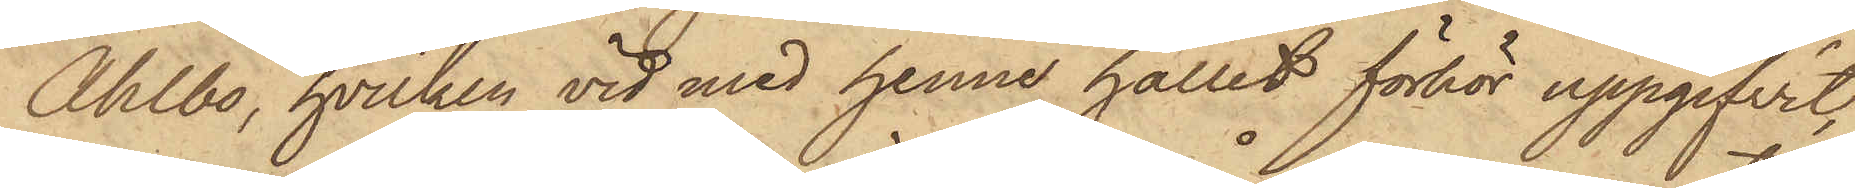Ahlbo, hvilken vid med henne hållet förhör uppgifvit,
